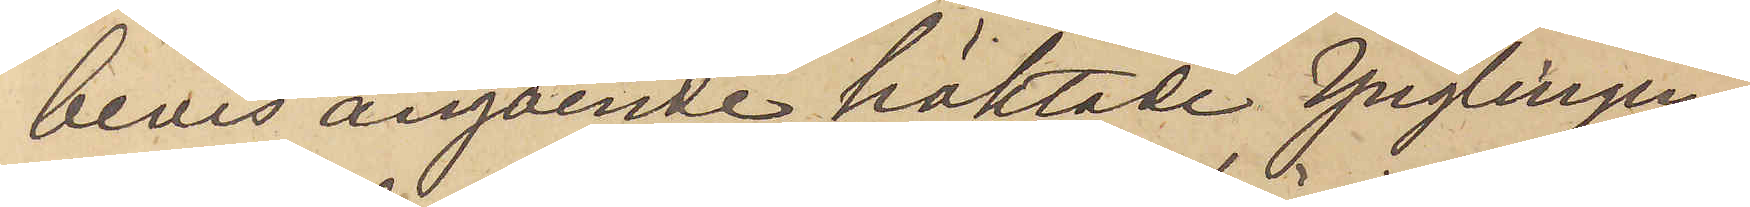bevis angående häktade ynglingen
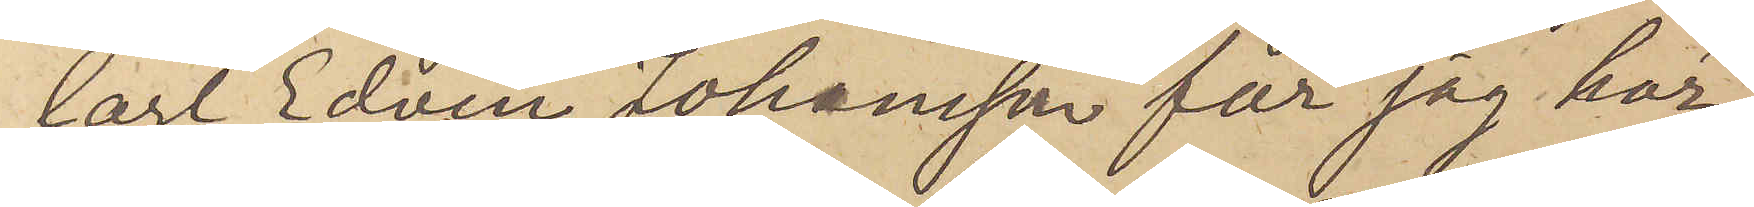Carl Edvin Johansson får jag här¬
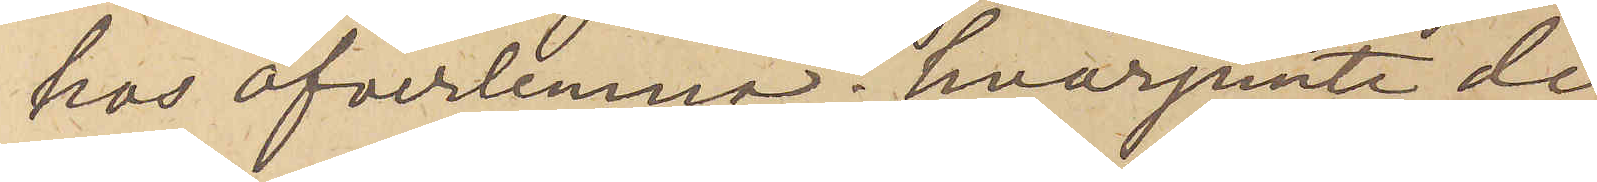hos öfverlemna; hvarjemte de¬
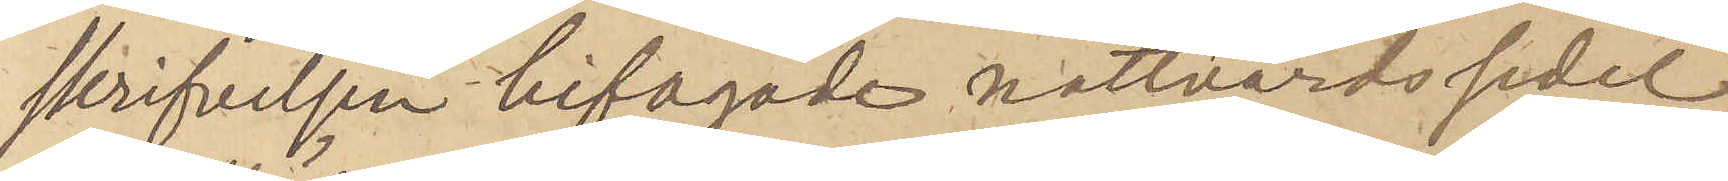skrifvelsen bifogade nattvardssedel
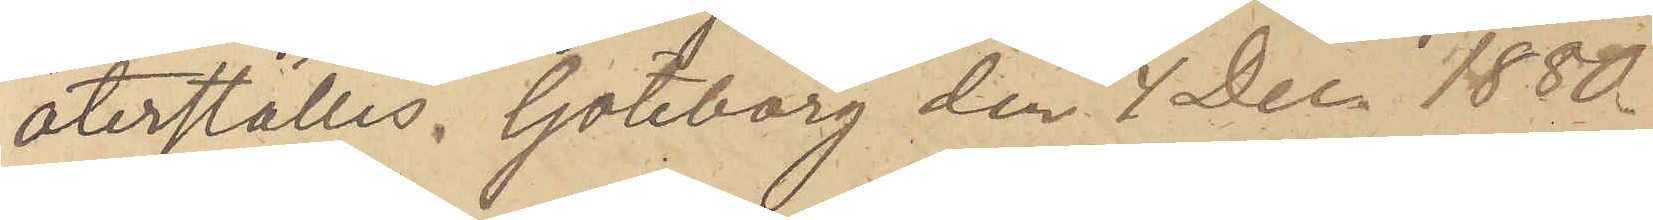återställes. Göteborg den 4 Dec. 1880.
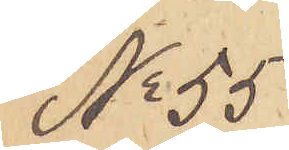No 55
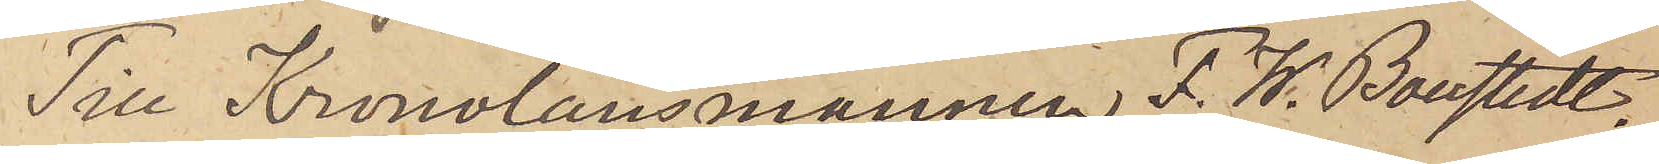Till Kronolänsmannen F. W. Boustedt.
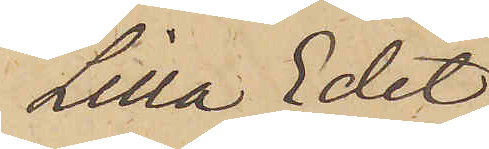Lilla Edet.
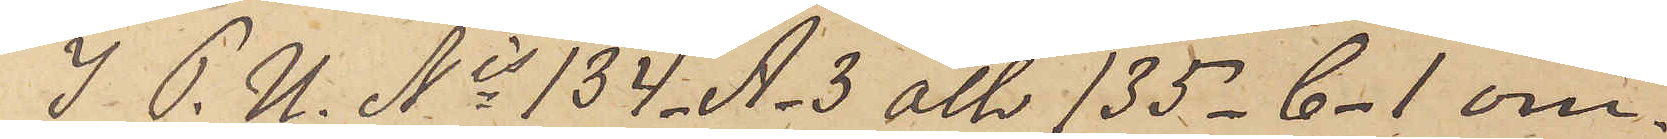I P. U. Nis 134_A_3 och 135_C_1 om¬
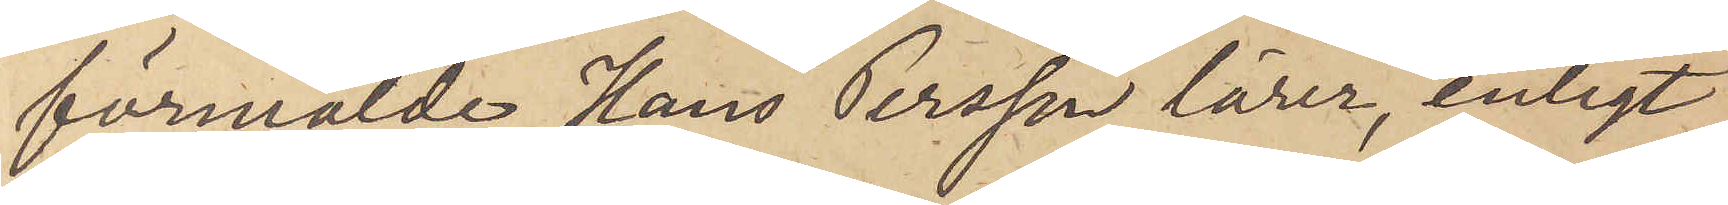förmälde Hans Persson lärer, enligt
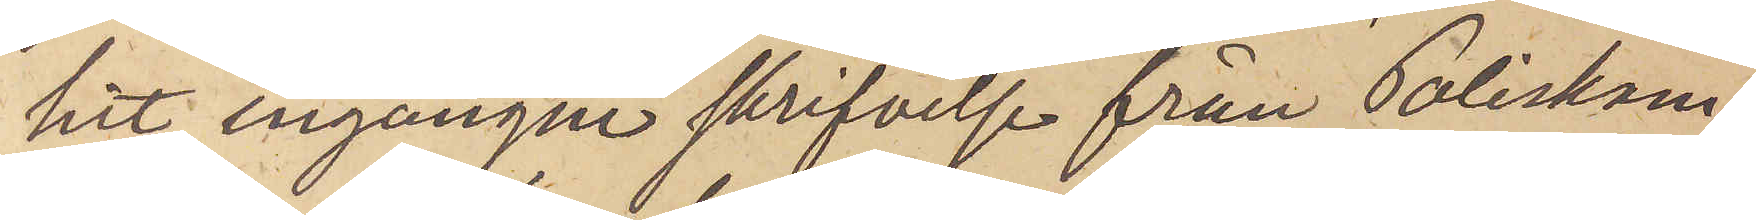hit ingångne skrifvelse från Poliskam¬
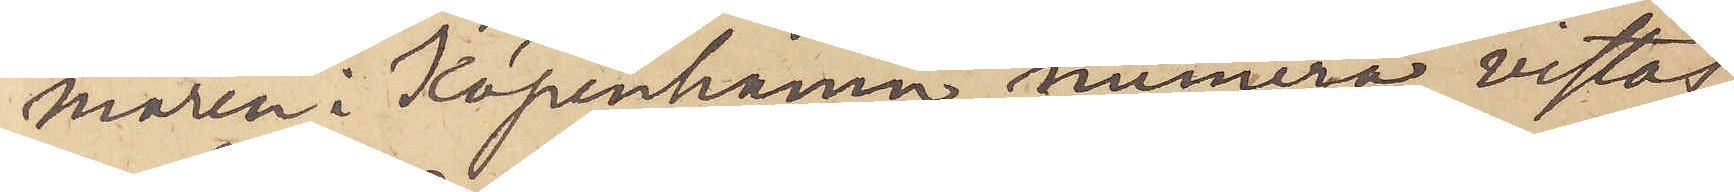maren i Köpenhamn, numera vistas
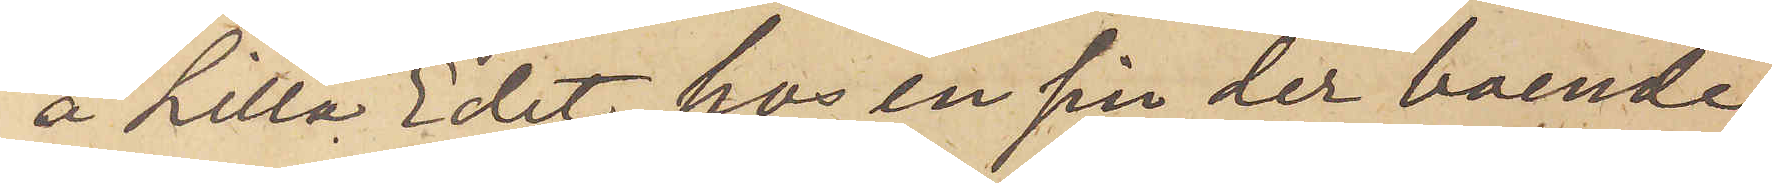å Lilla Edet hos en sin der boende
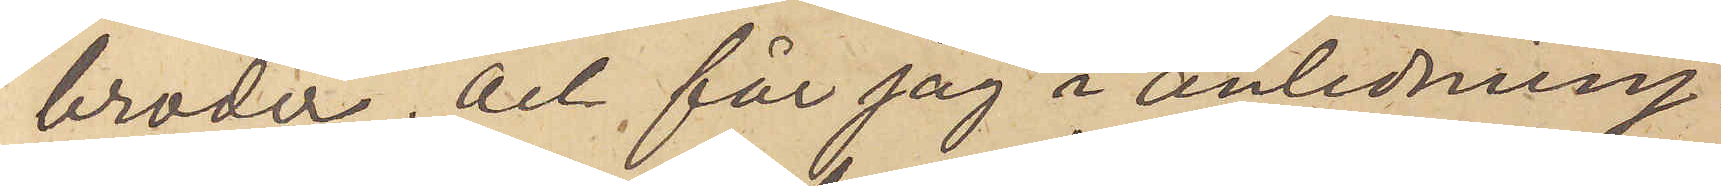broder, och får jag i anledning
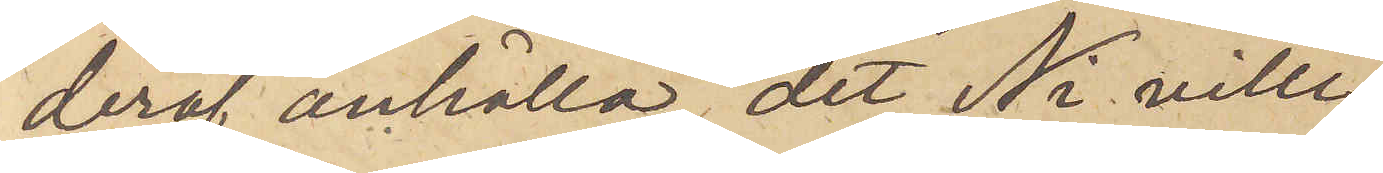deraf anhålla, det Ni ville
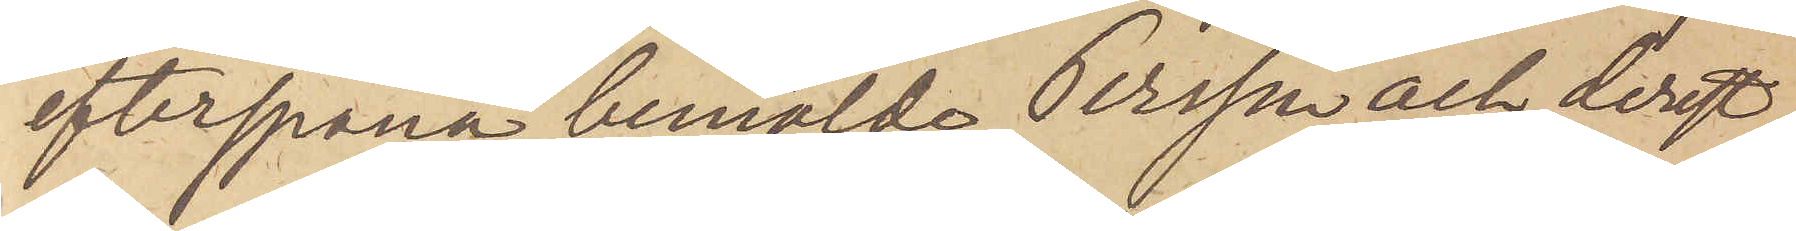efterspana bemälde Persson och derest
